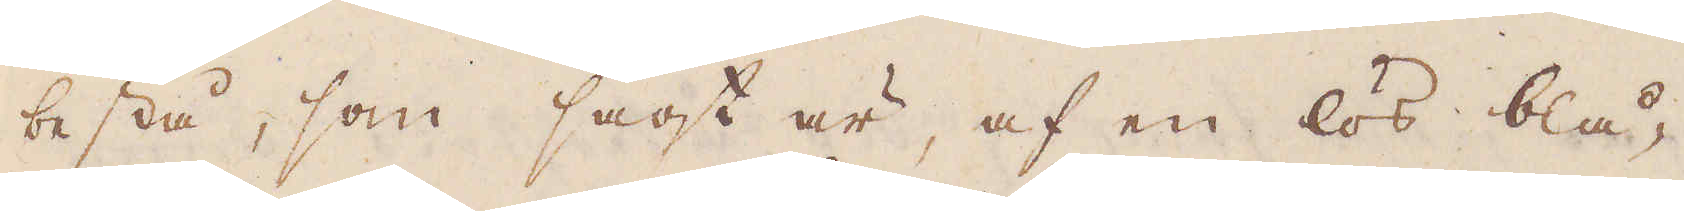bestå, som sagt är, af en lös blå-
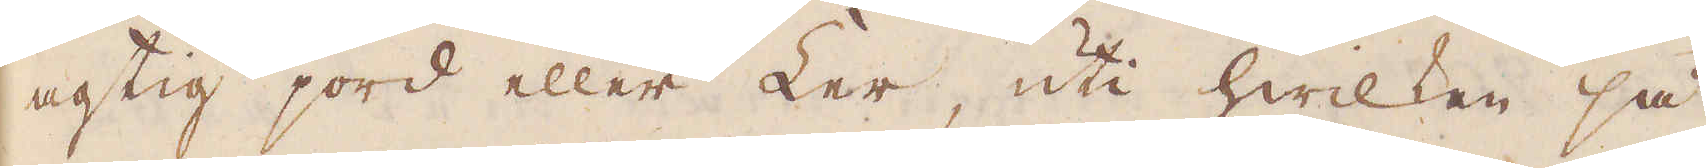agtig jord eller Ler, uti hwilken så
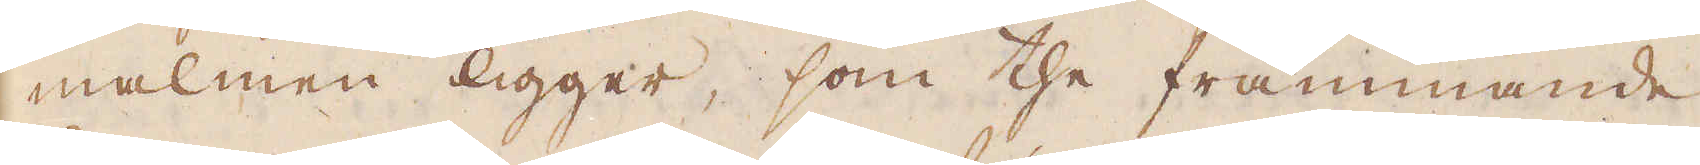malmen ligger, som the främmande
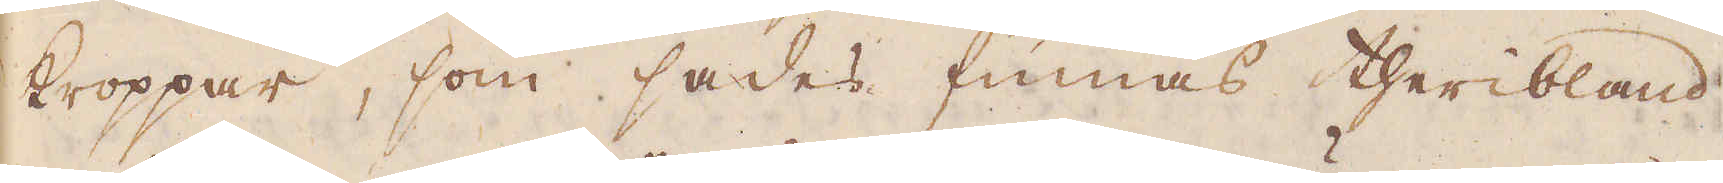kroppar, som sades finnas theribland,
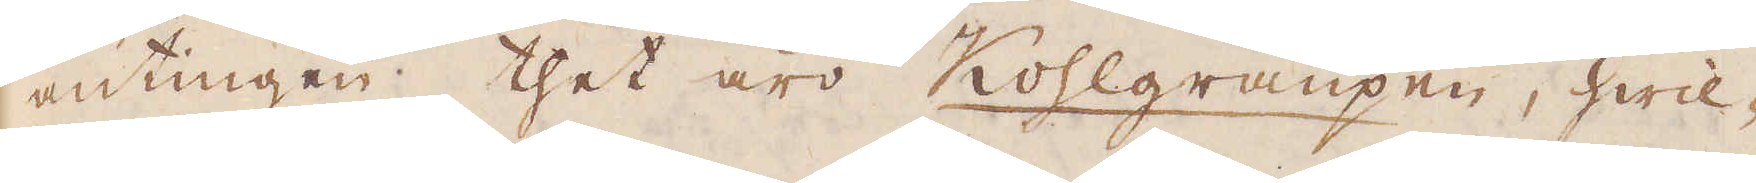antingen thet äro Kohlgraupen, hwil-
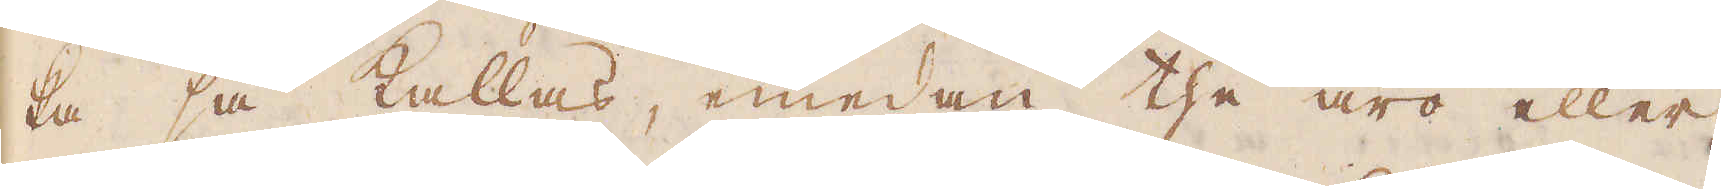ka så kallas, emedan the äro eller
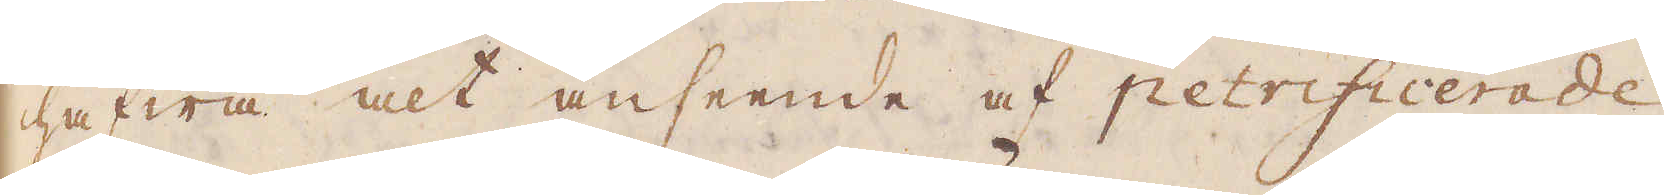hafwa alt anseende af petrificerade
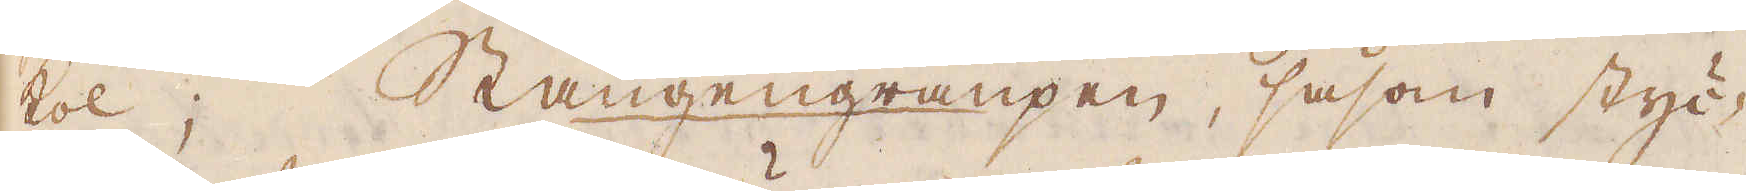kol; Stangengraupen, såsom styc-
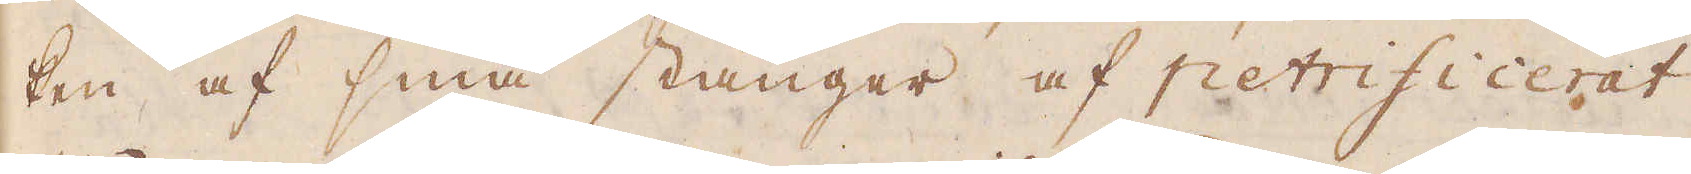ken af små stänger af petrificerat
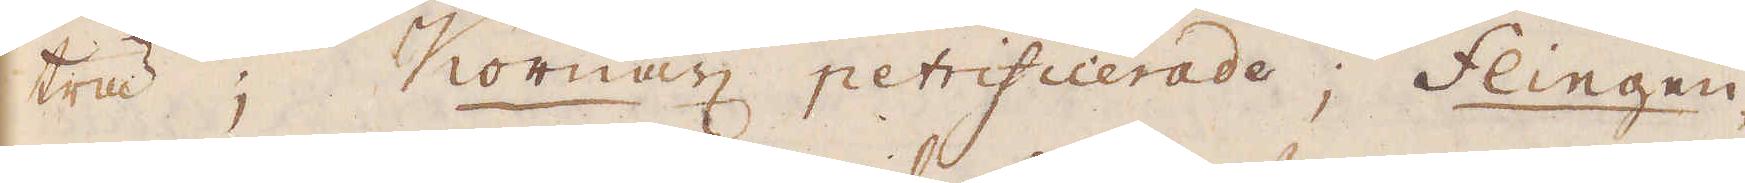trä; Kornax petrificerade; Flingen-
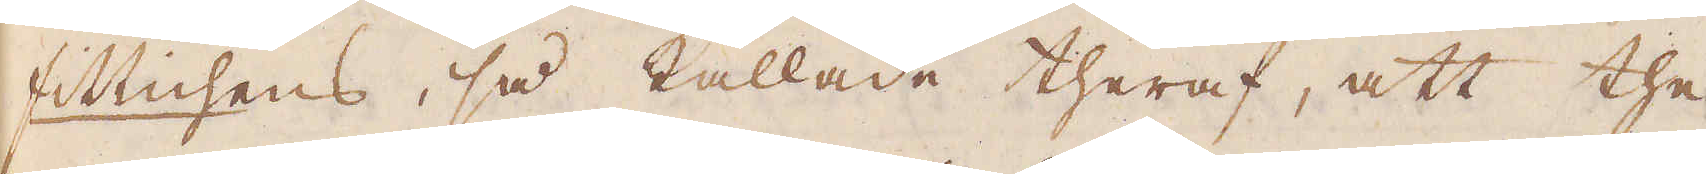fittichens, så kallade theraf, att the
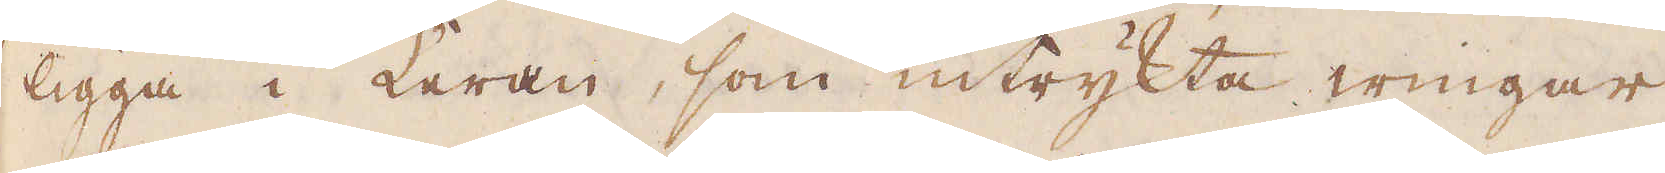ligga i Leran, som intrykta wingar
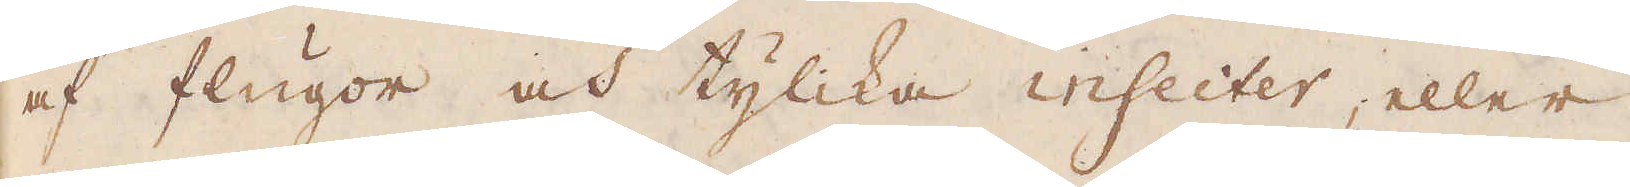af flugor och tylika insecter, eller
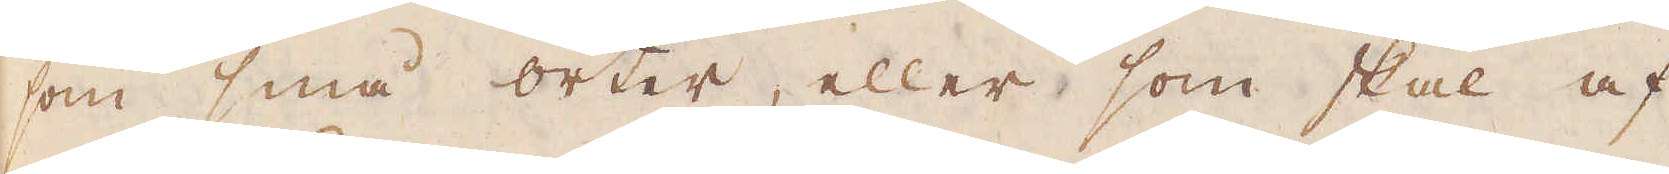som små örter, eller som skal af
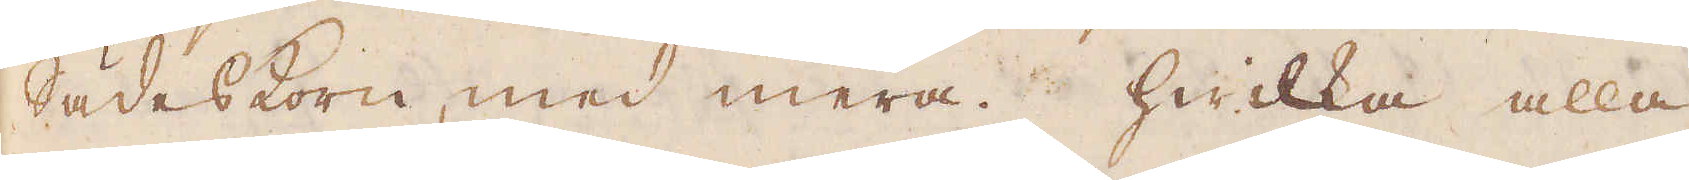sädeskorn, med mera, hwilka alla
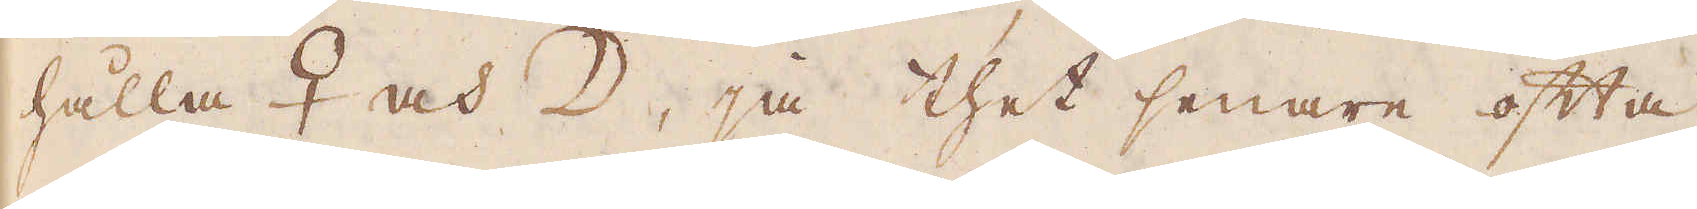hålla ♀ och ☽, ja thet senare ofta
